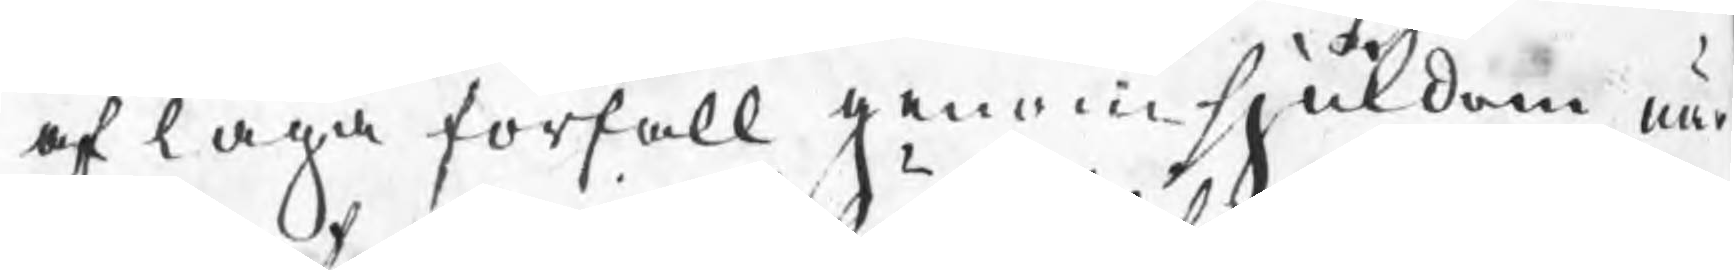af laga förfall genom sjukdom, när
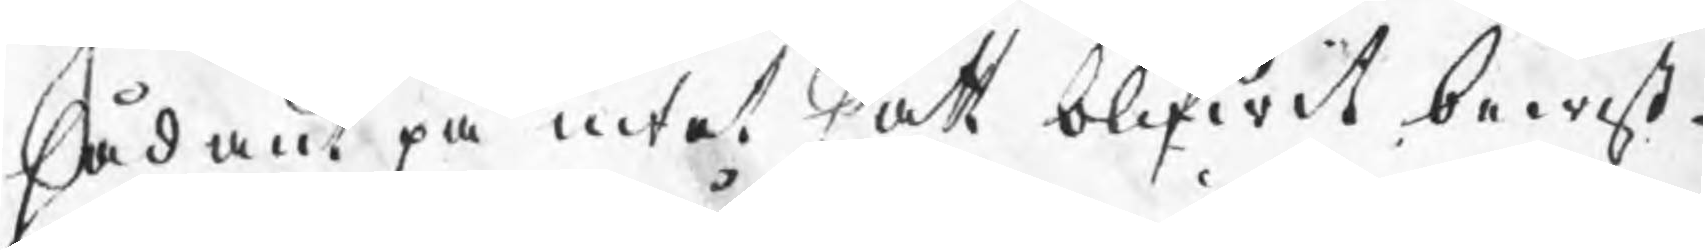sådant på intet sätt blifwit bewist.
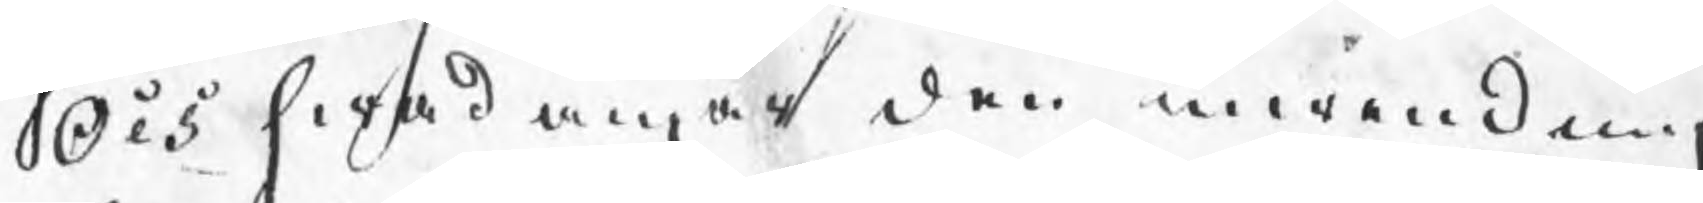Och hwad angår den inwendning
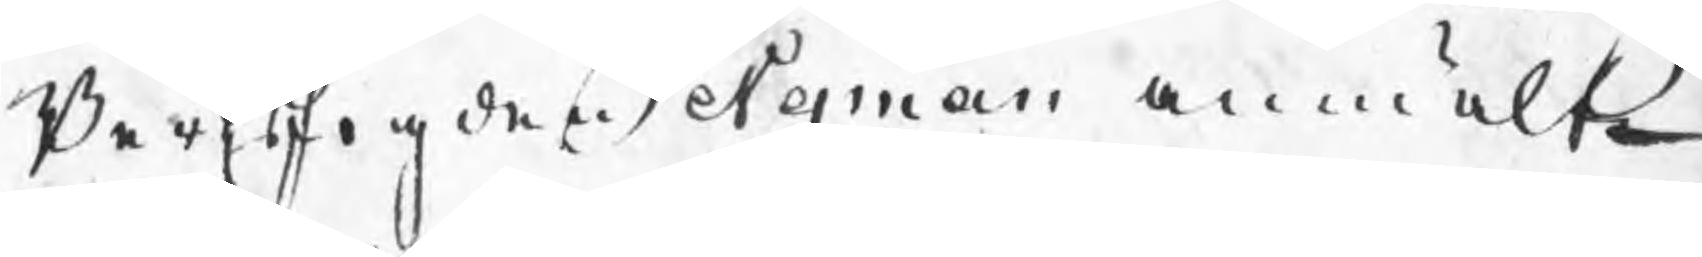Bergsfogden Nyman anmälte
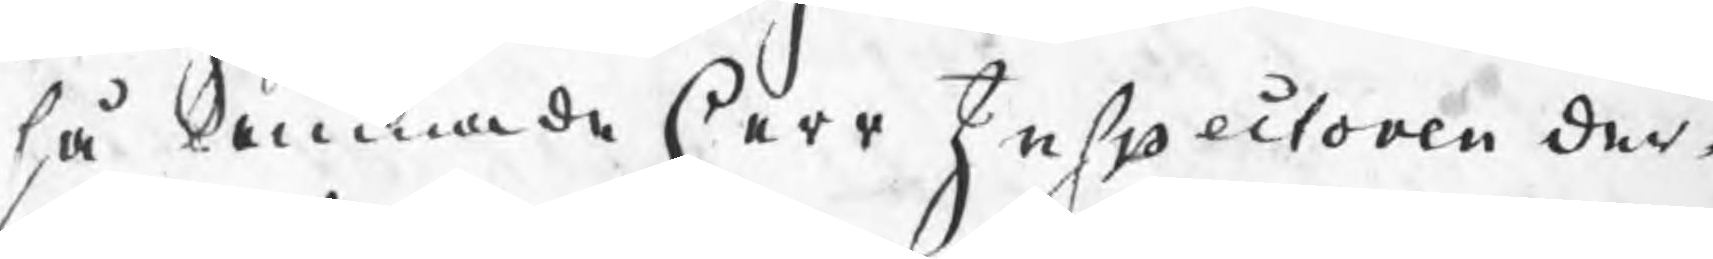så lemnade Herr Inspectoren der¬
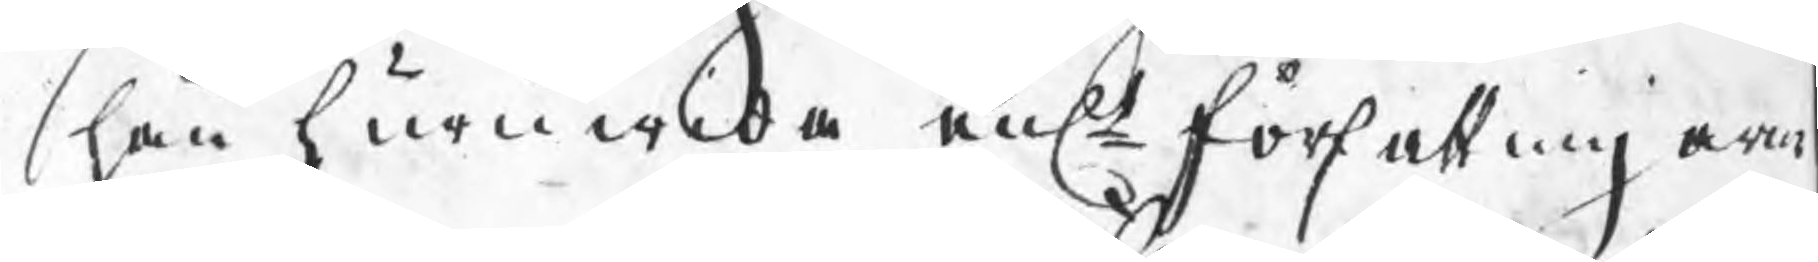hän huruwida enl författningarn
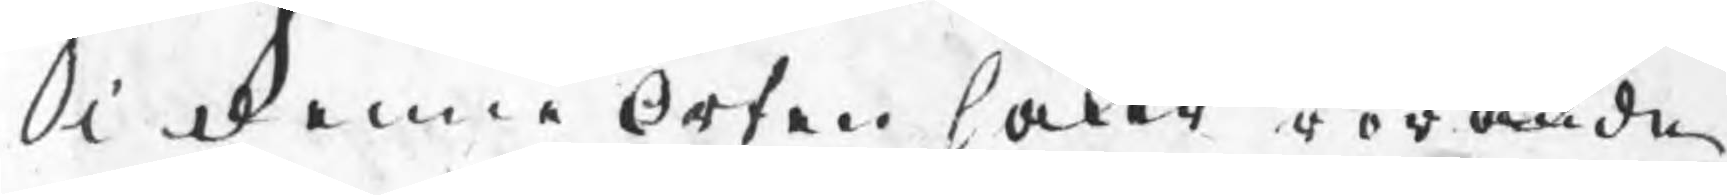i denne Orten saken rorande
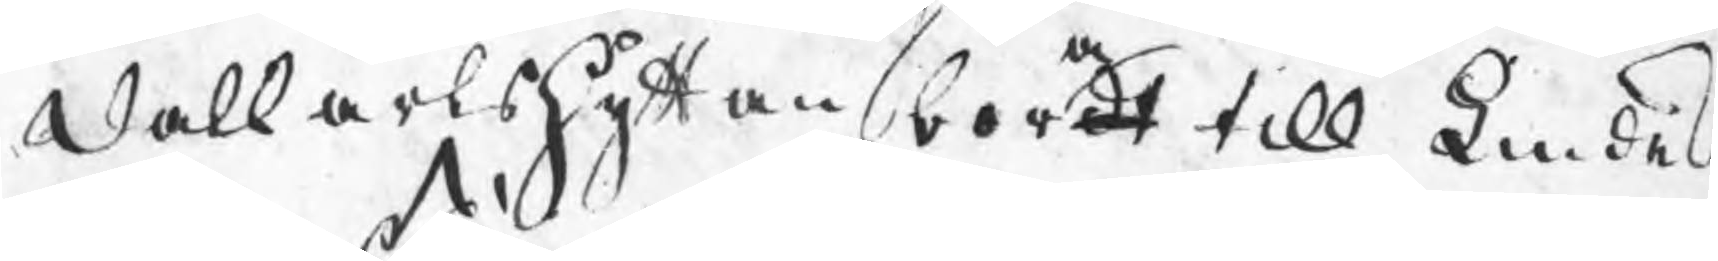Dalkarshyttan bordt till Lindes
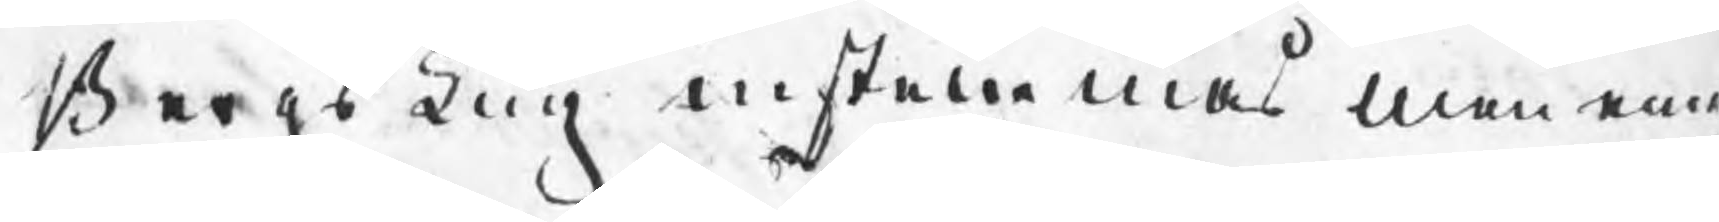BergsTing instammas men eme¬
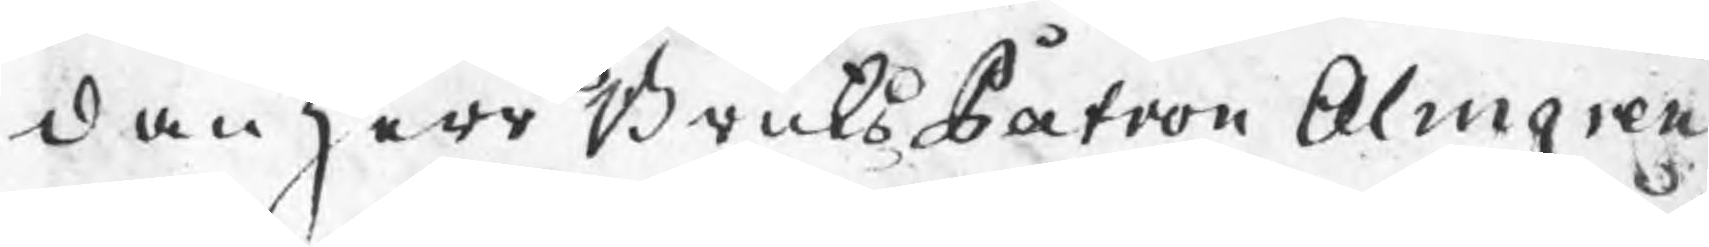dan Herr BruksPatron Almgren
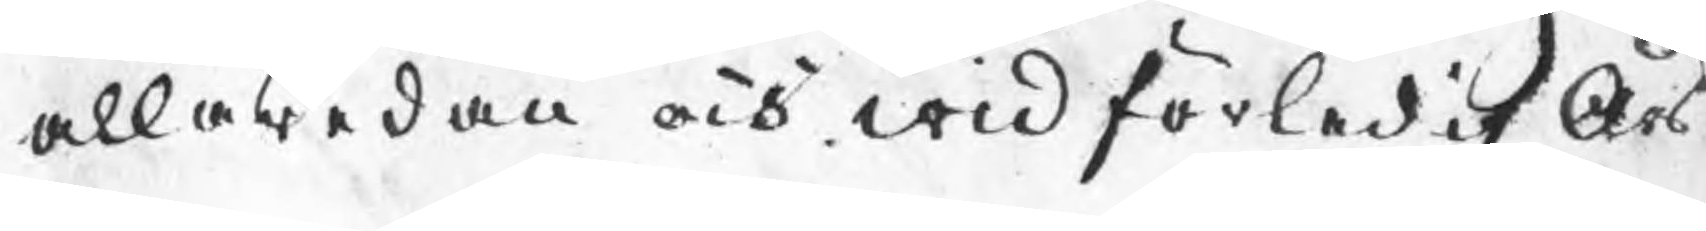allaredan och wid förledit Års
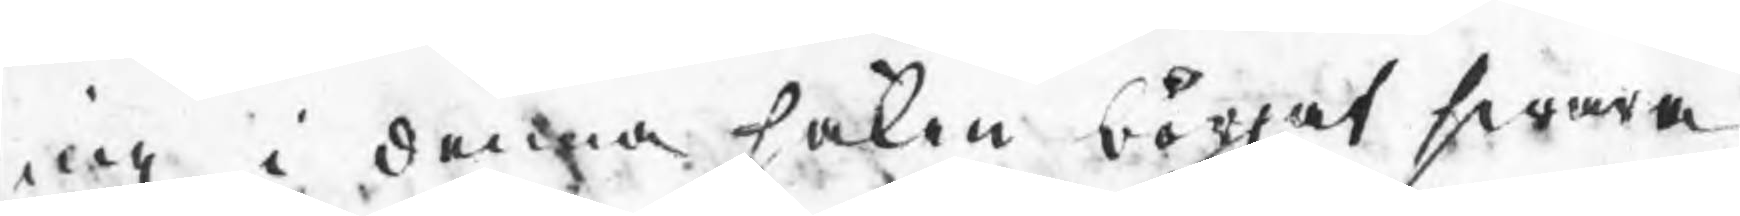ing i denna saken börjat swara
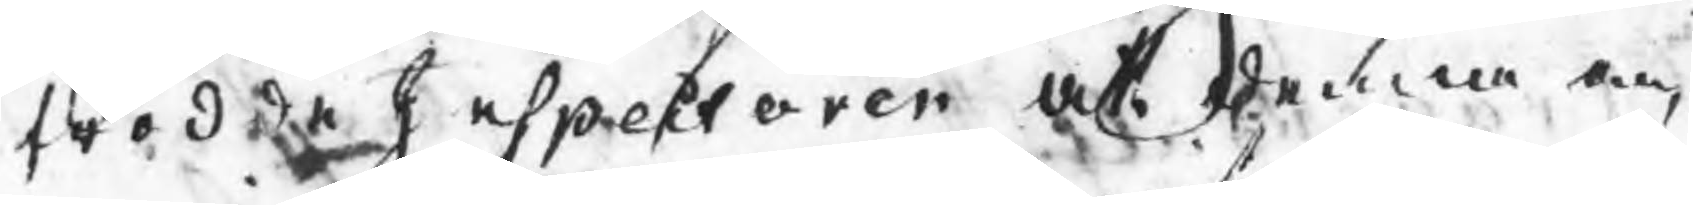trodde Inspectoren at denna an¬
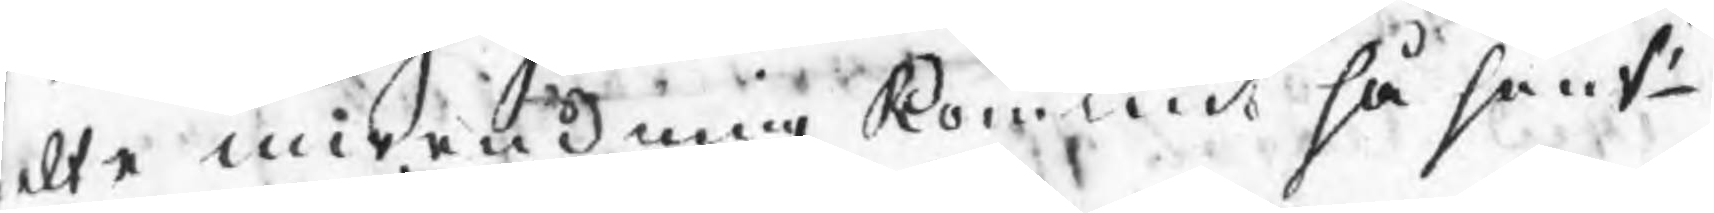lte inwändning kommit så sent
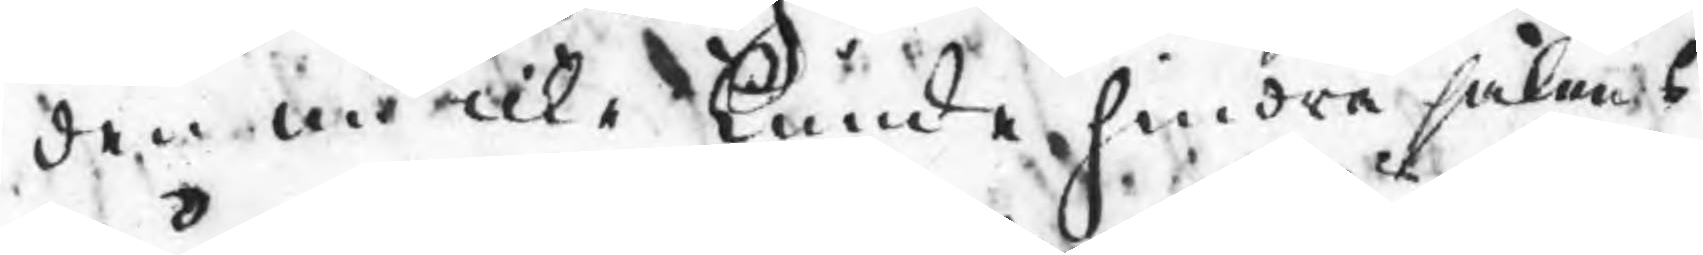den nu icke kunde hindra sakens
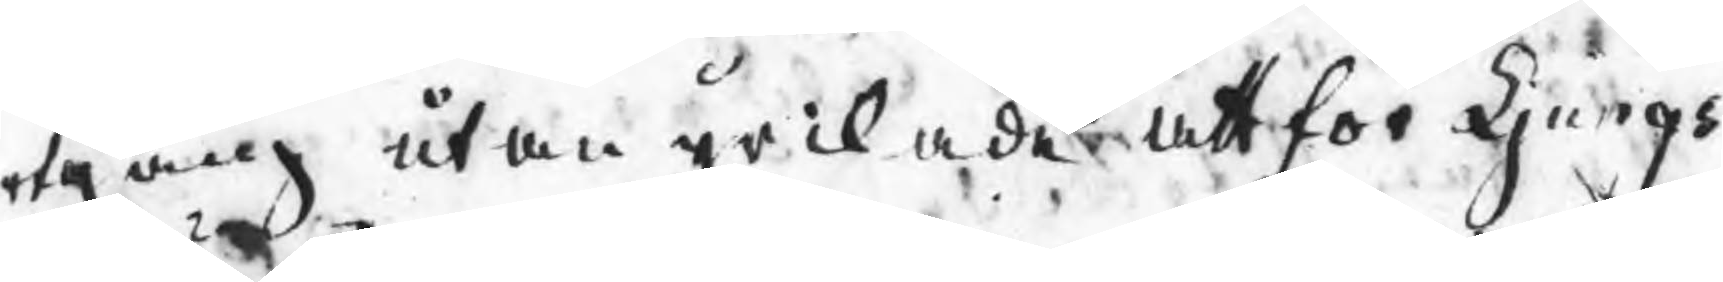rtgång utan yrckade att för Ljungs
